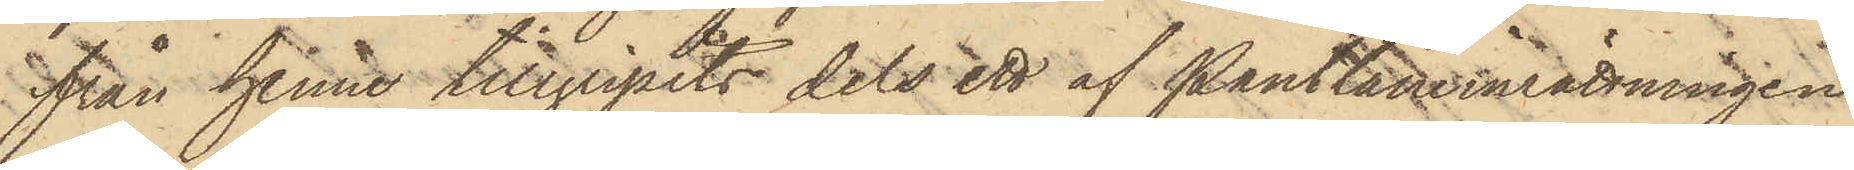från henne tillgripits dels ett af Pantlåneinrättningen
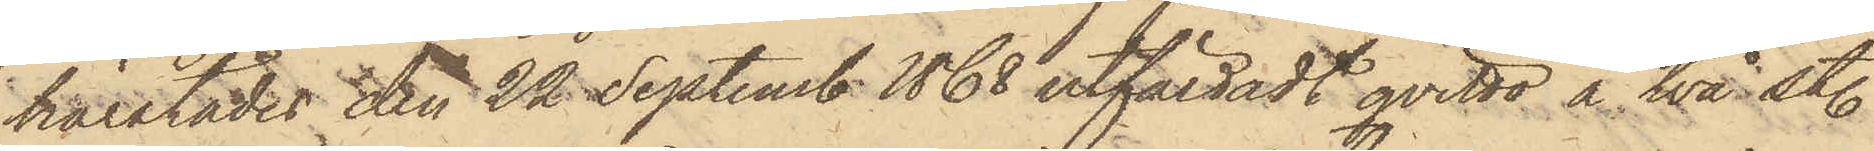härstädes den 22 September 1868 utfärdadt qvitto å två st.
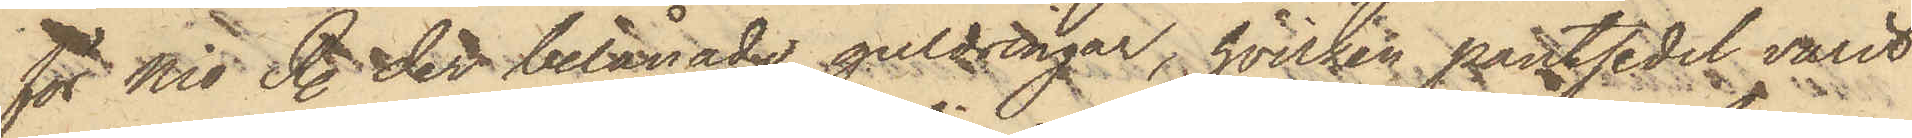för Nio R. der belånade guldringar, hvilken pantsedel varit
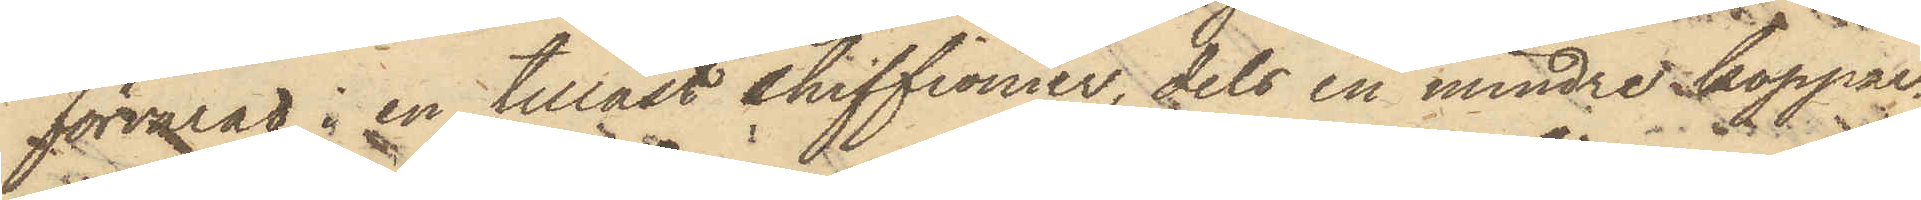förvarad i en tillåst chiffionier, dels en mindre koppar¬
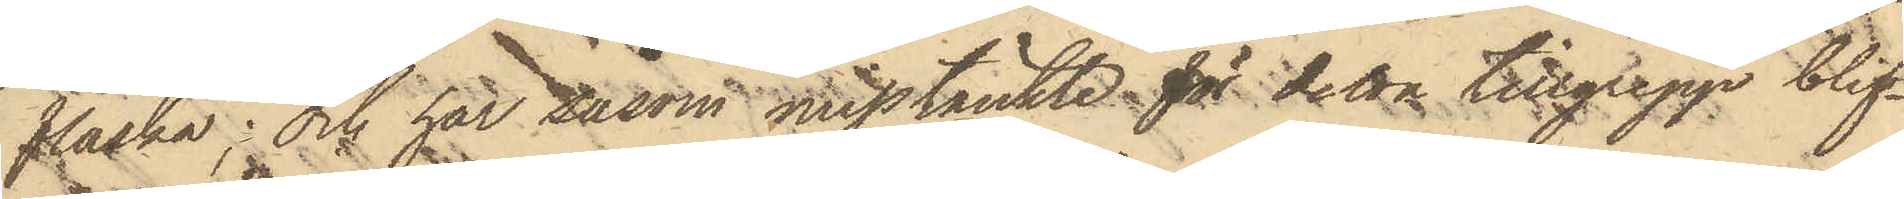flaska; och har såsom misstänkte för detta tillgrepp blif¬
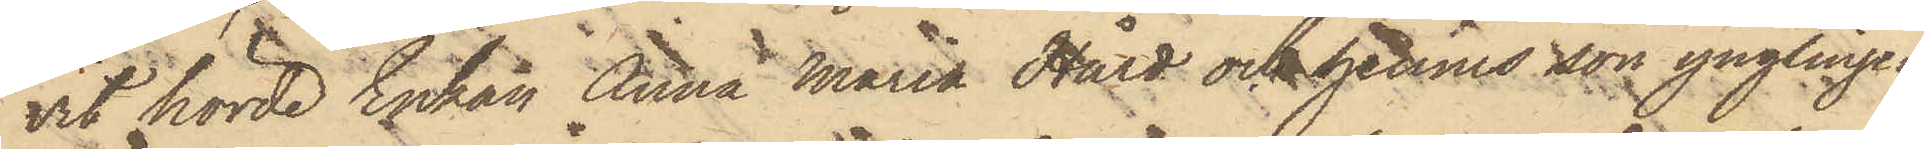vit hörde Enkan Anna Maria Hård och hennes son ynglingen
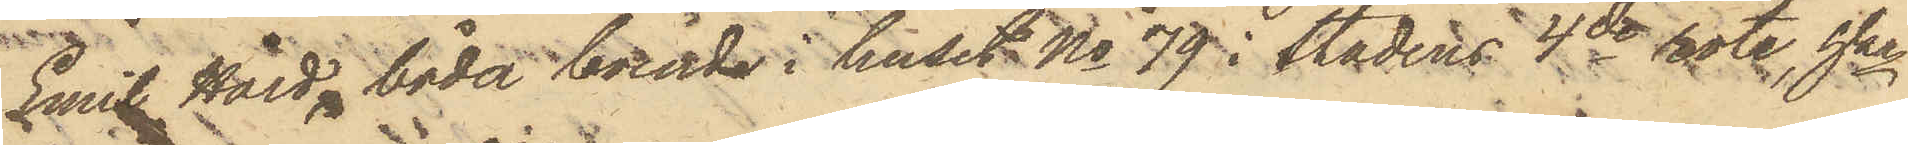Emil Hård, båda boende i huset No 79 i Stadens 4de rote, hka
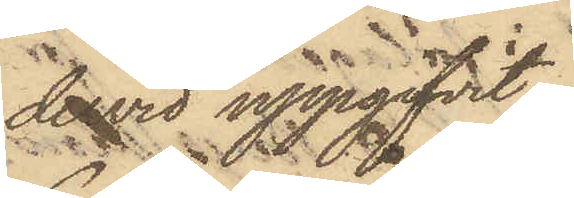dervid uppgifvit,
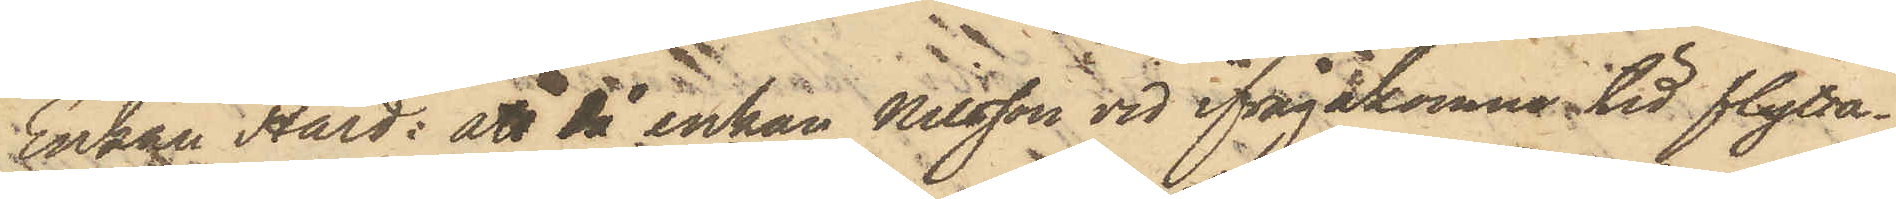Enkan Hård: att då enkan Nilsson vid ifrågakomne tid flytta¬
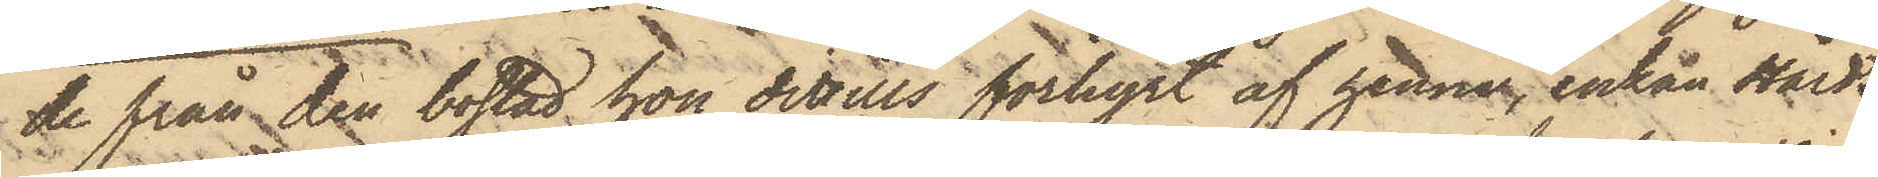de från den bostad hon dittills förhyrt af henne, enkan Hård
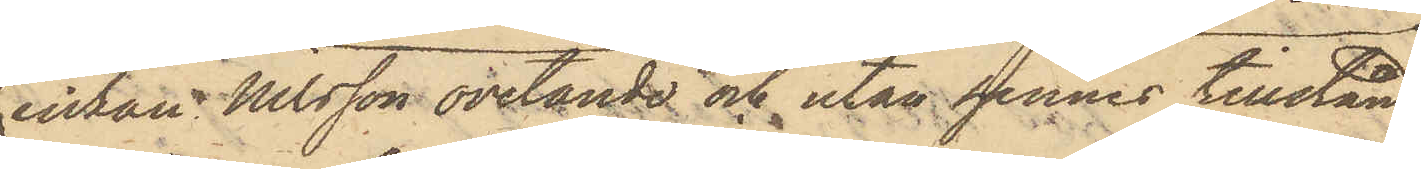enkan Nilsson ovetande och utan hennes tillstånd
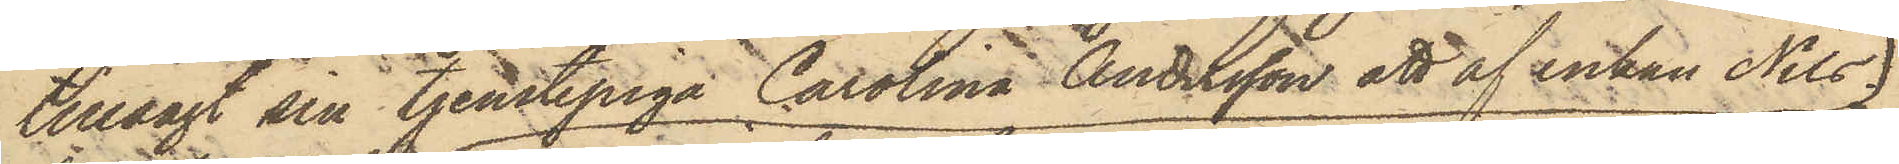tillsagt sin tjenstepiga Carolina Andersson att af enkan Nils¬
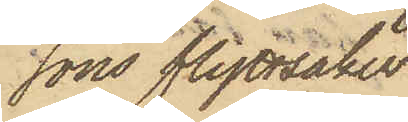sons flyttsaker,
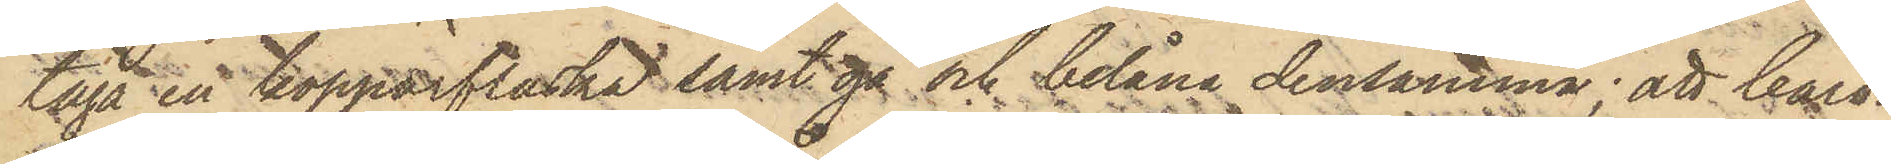taga en kopparflaska samt gå och belåna densamma; att Caro¬
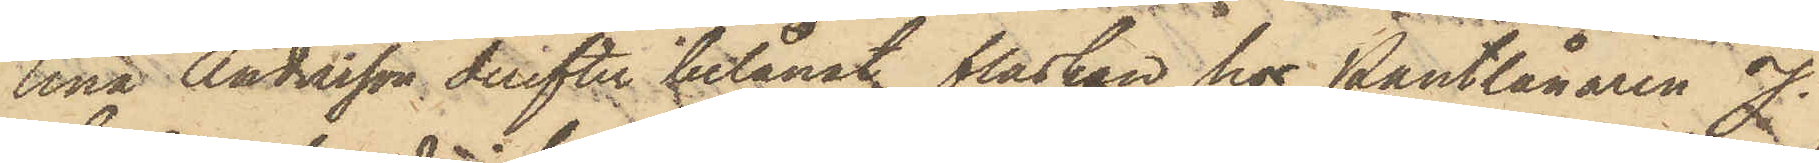lina Andersson derefter belånat flaskan hos Pantlånaren J.
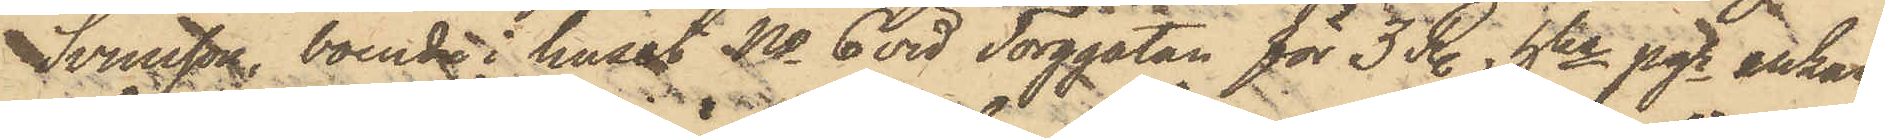Svensson, boende i huset No 6 vid Torggatan för 3 R., hka pgr enkan
